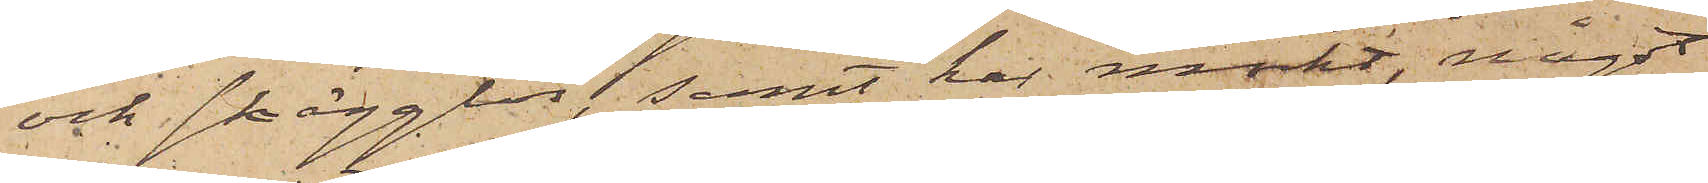och skägglös, samt har mörkt, något
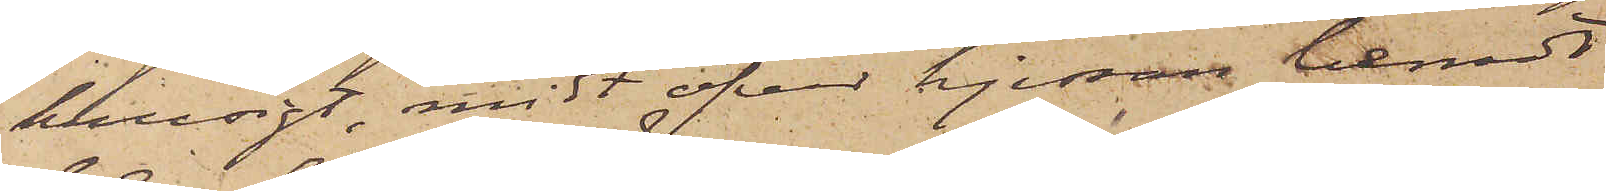krusigt, midt öfver hjessan benadt
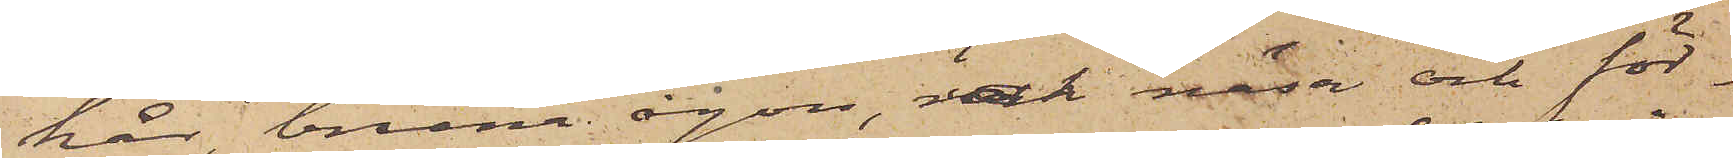hår, bruna ögon, rak näsa och för¬
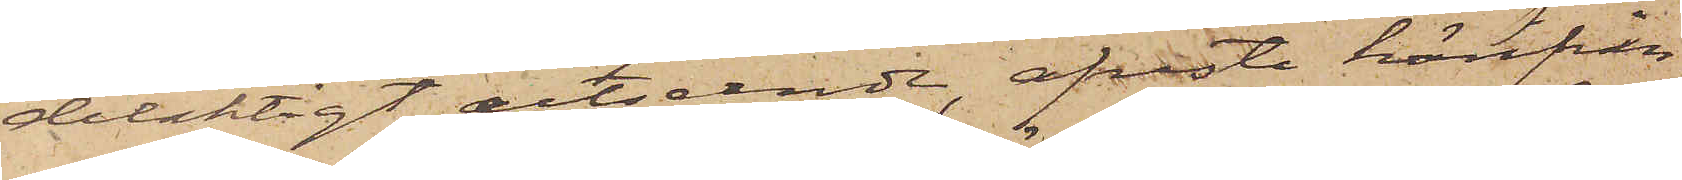delaktigt utseende, afreste härifrån
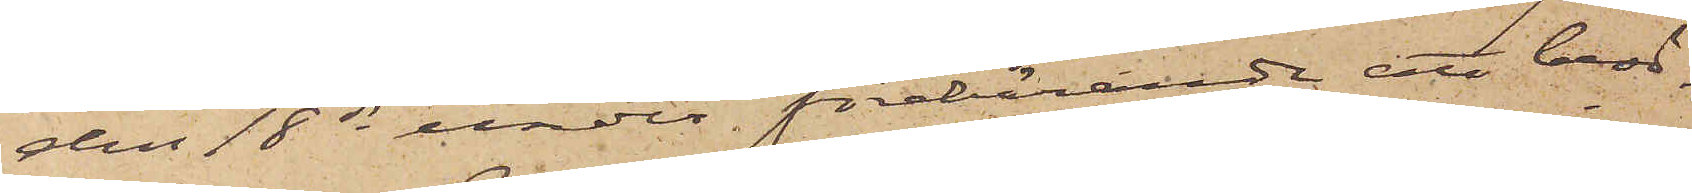den 18 ds under förebärande att besö¬
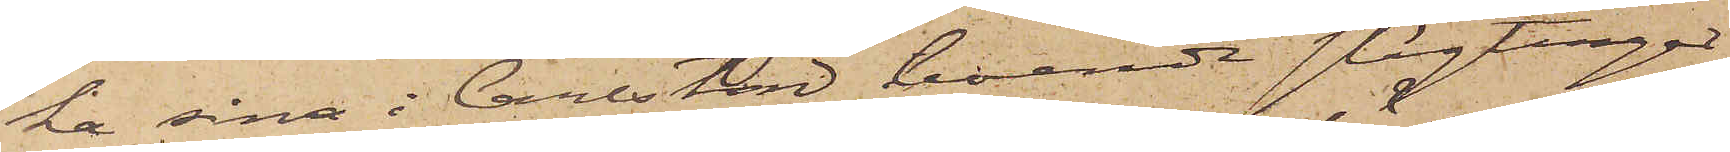ka sina i Carlstad boende slägtingar
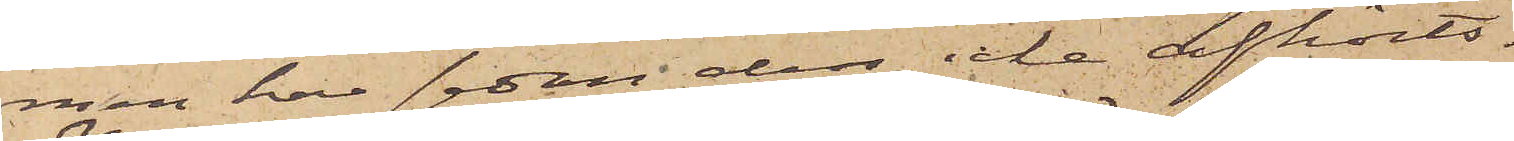men har sedan dess icke afhörts.
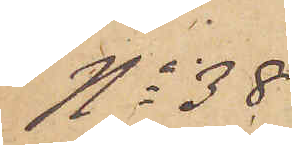No 38
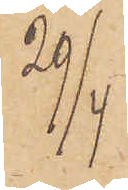29/4
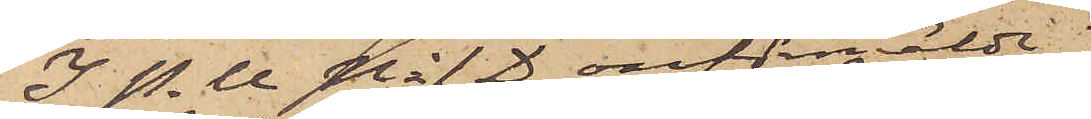I P. U No 1 D omförmälde
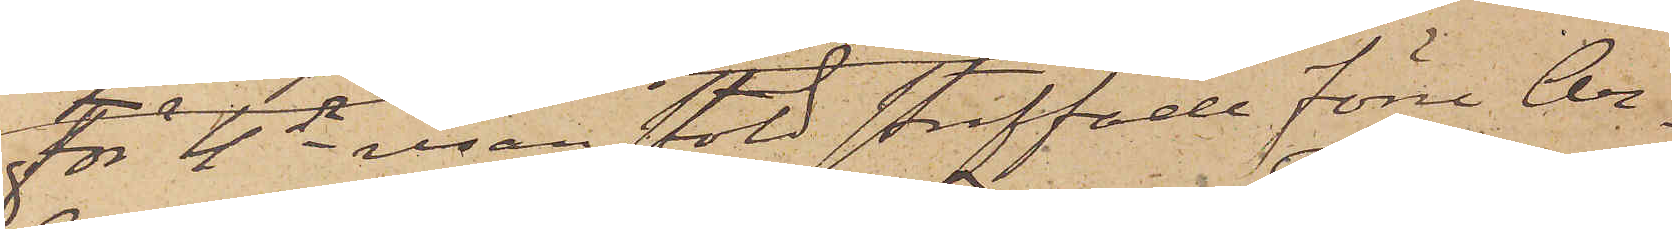För 4de resan stöld straffade förre Ar¬
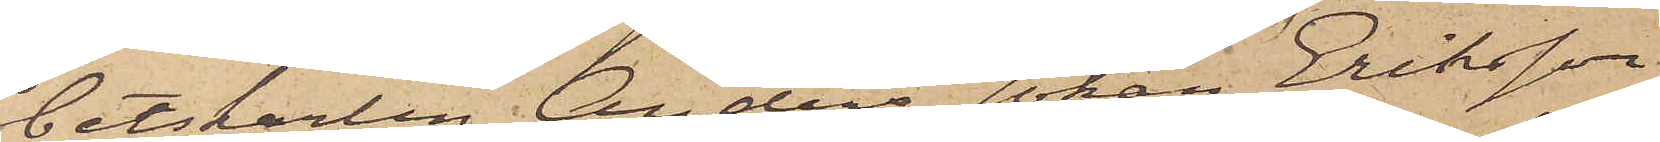betskarlen Anders Johan Eriksson
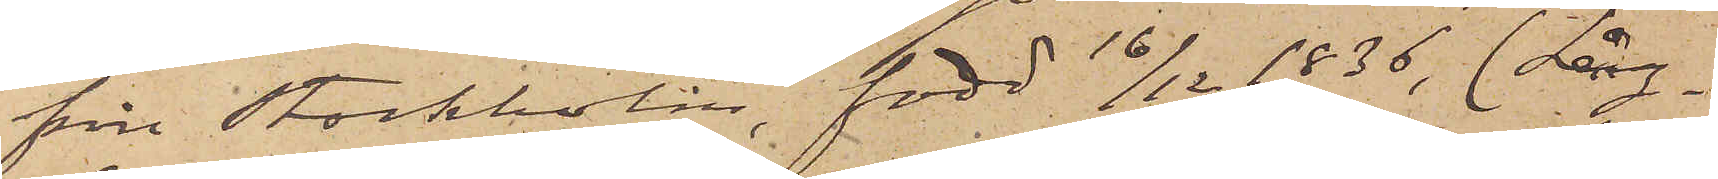från Stockholm, född 16/12 1836, (Lång¬
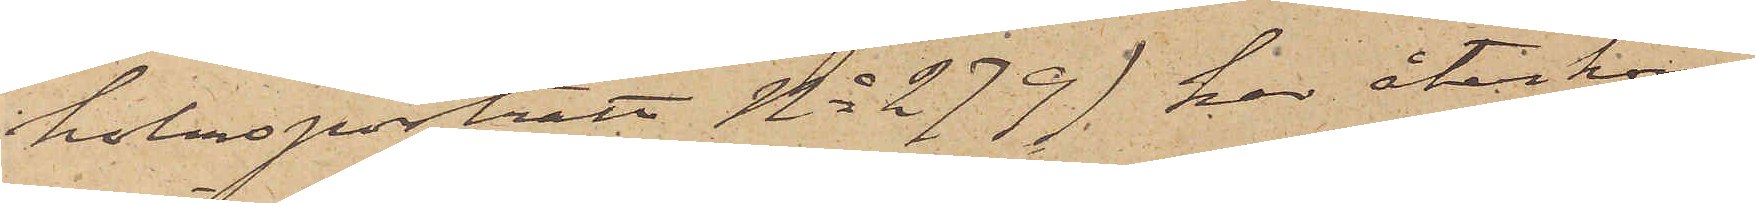holmsporträtt No 279) har återkom¬
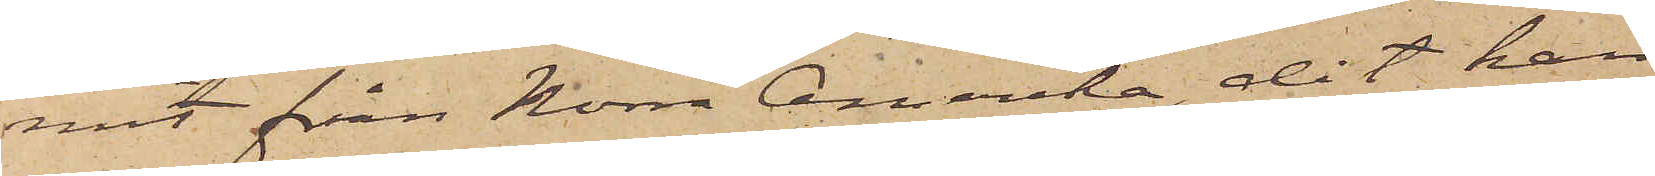mit från Norra Amerika, dit han
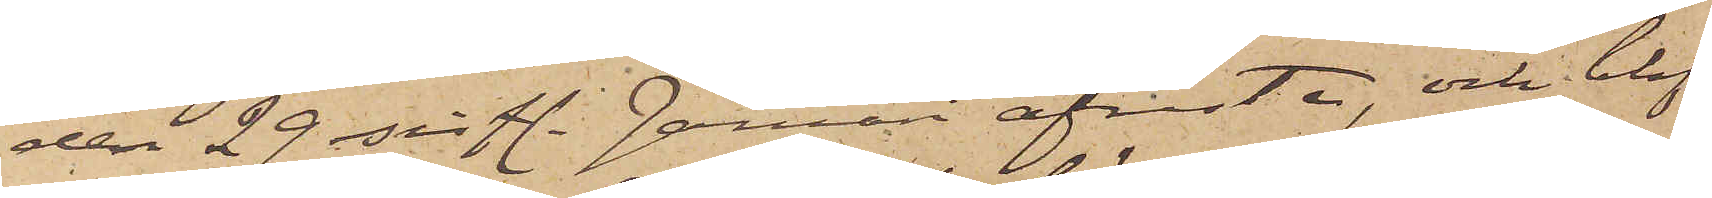den 29 sistl. Januari afreste, och blef
